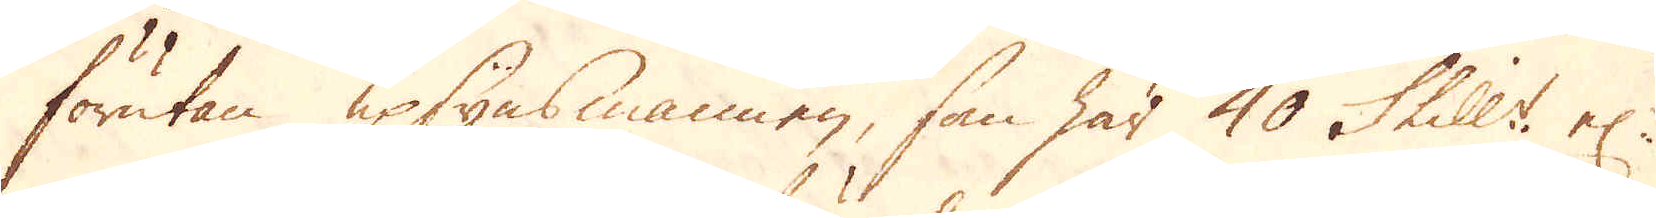förutan upsynsmannen, som har 40 Skill:r el:r
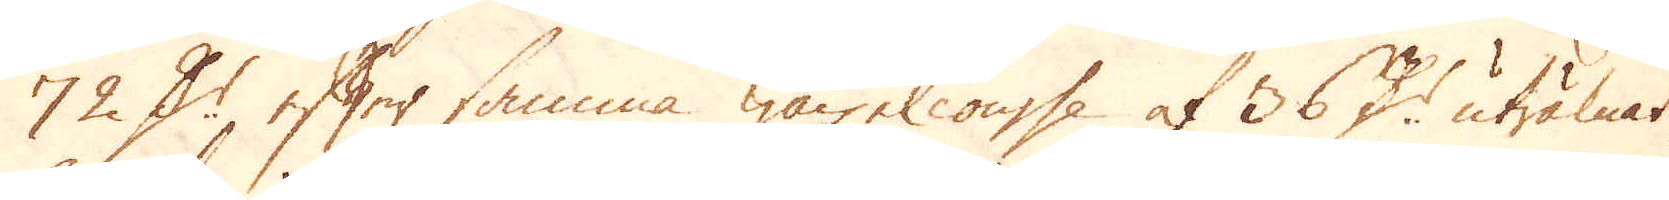72 D:r efter samma wäxel course af 36 D:r uträknat
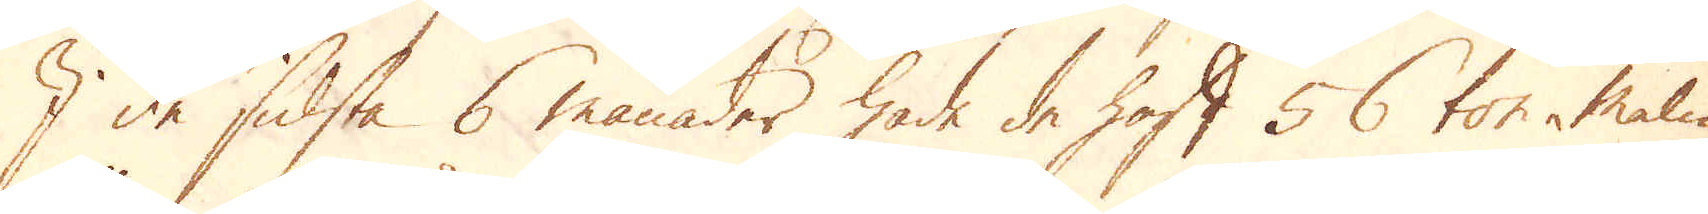I de sidsta 6 månader hade de haft 56 ton malm,
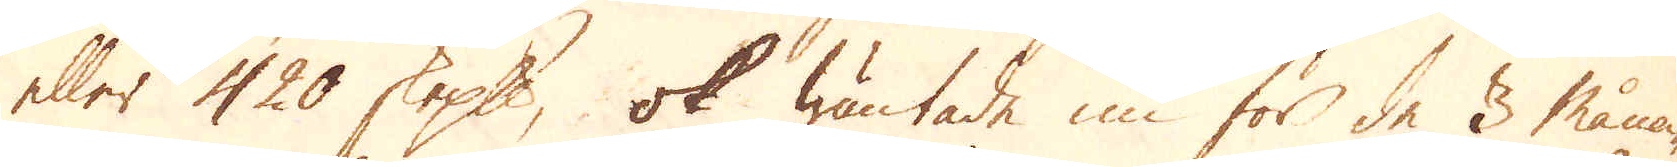eller 420 skeppund, ok wäntade nu för de 3 måna-
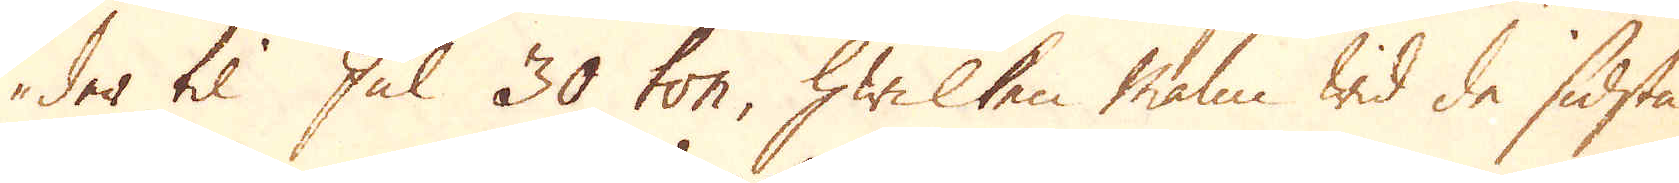der til Jul 30 ton, hwilken malm wid de sidsta
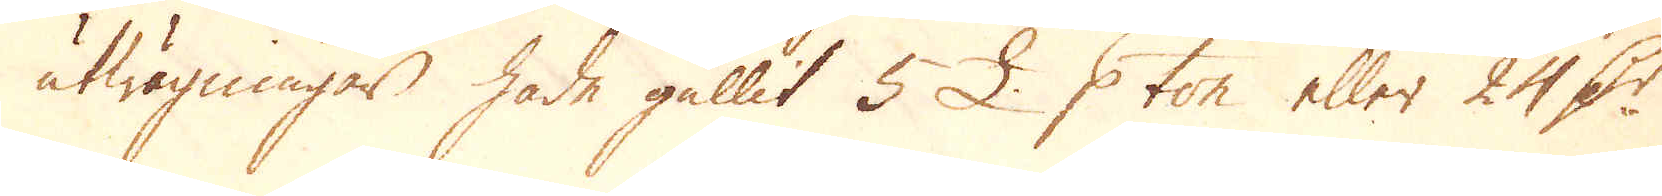utwägningar hade gällit 5 £. p ton eller 24 D:r
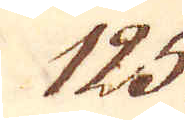125.
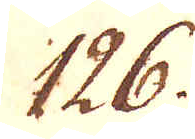126.
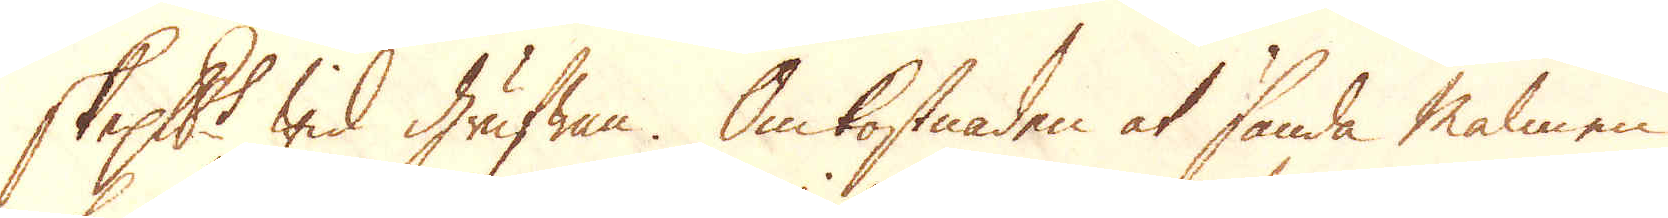skeppundet wid grufwan. Omkostnaden at sända malmen
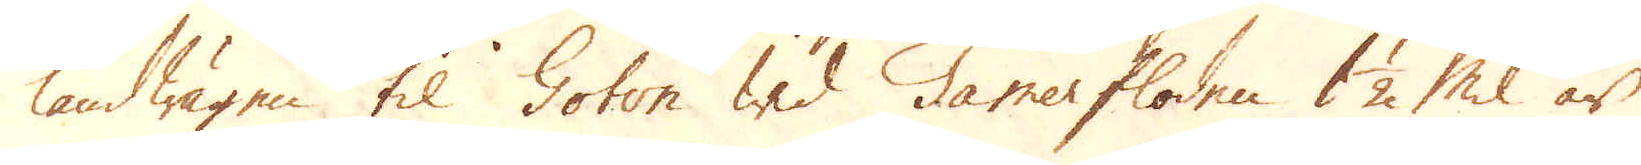landwägen til Goton wid Tamerfloden 1 1/2 Mil är
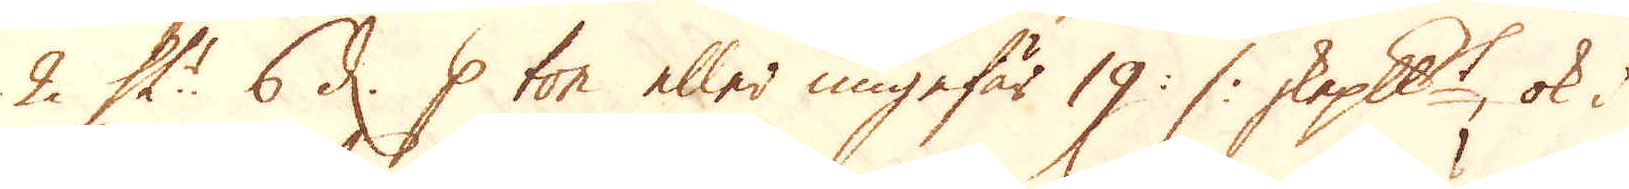2. Sk:r 6 d. p ton eller ungefär 19 :/: skeppundet, ok i
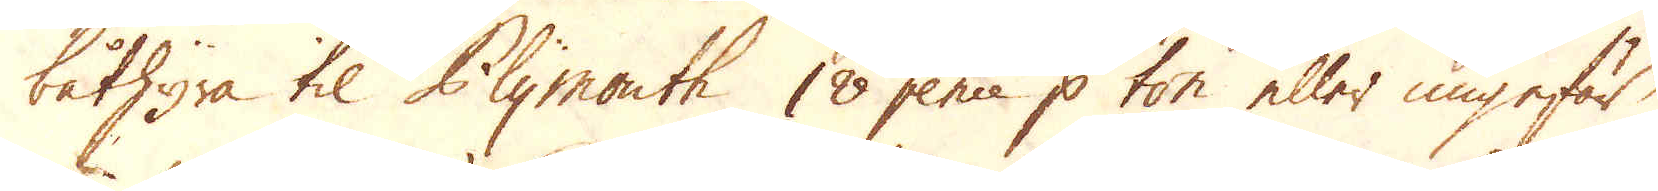båthyra til Plymouth 18 pence p ton eller ungefär
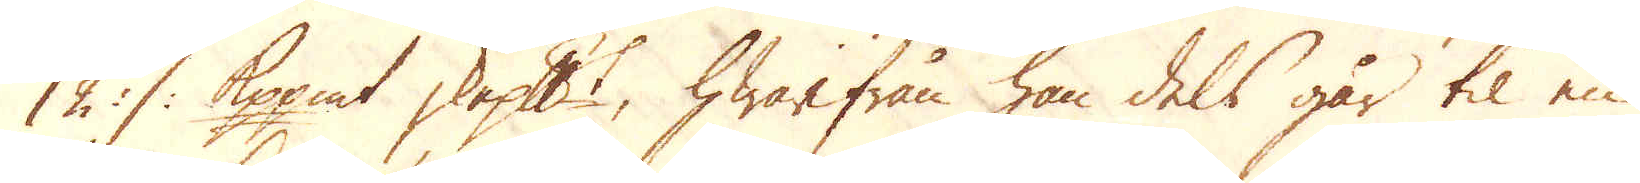12 :/: Kopp:mt skeppundet, hwarifrån han dels går til en
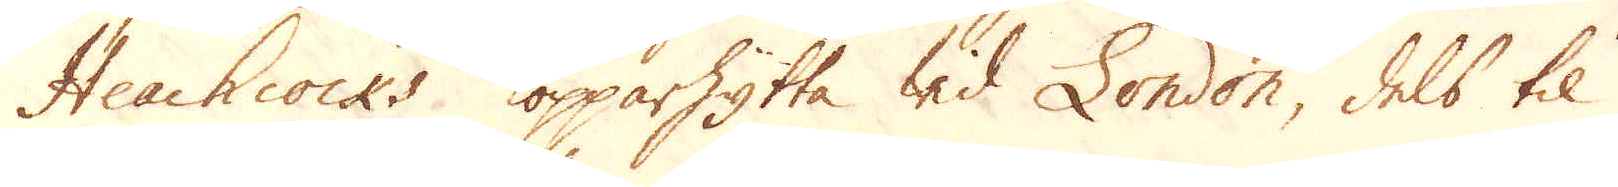Heachcocks kopparhytta wid London, dels til
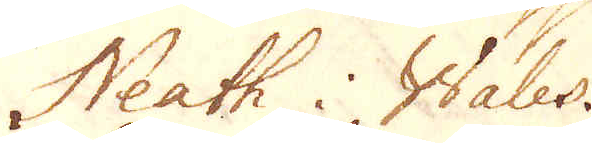Neath i Wales.
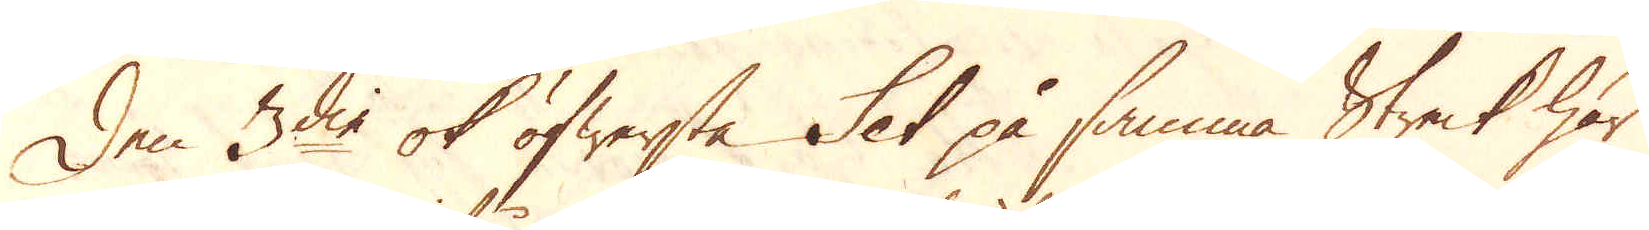Den 3die ok öfwersta Set på samma Streck har
